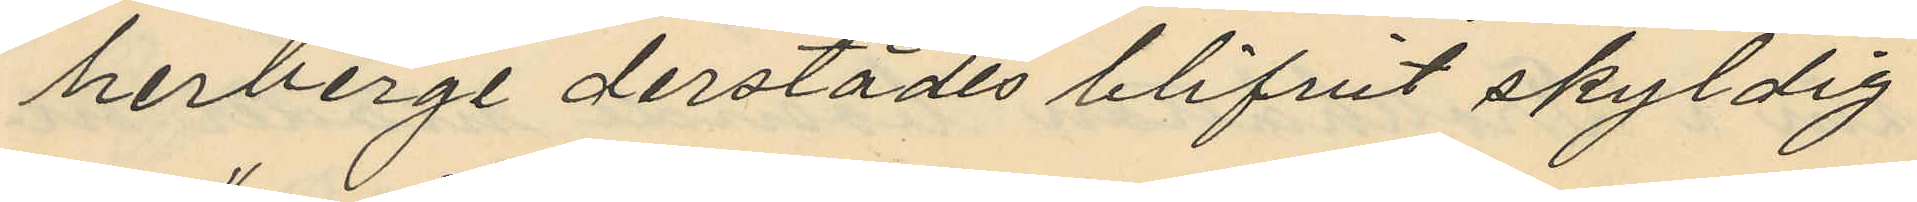herberge derstädes blifvit skyldig
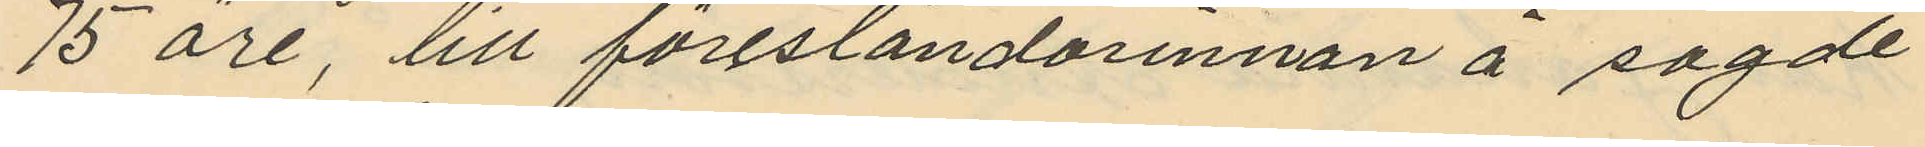75 öre, till föreståndarinnan å sagde
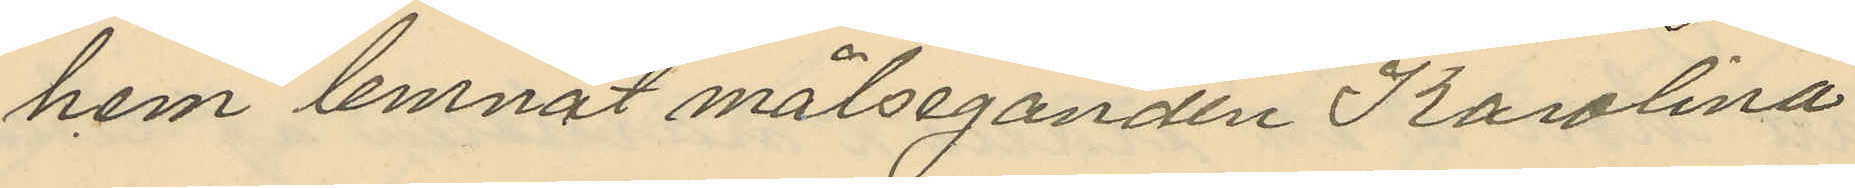hem lemnat målseganden Karolina
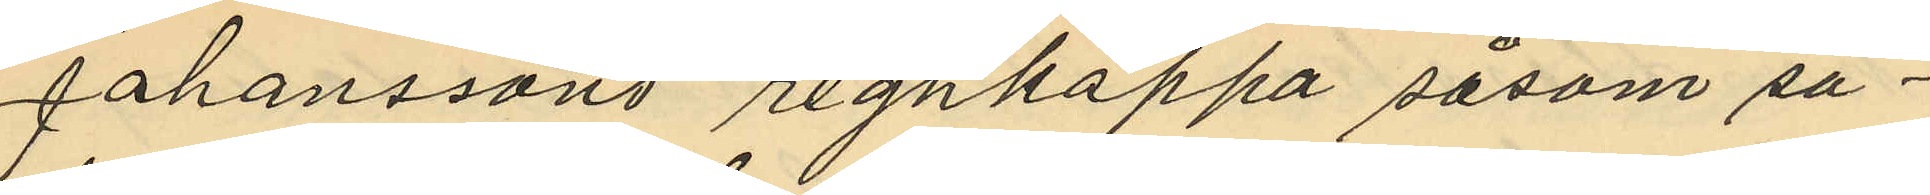Johanssons regnkappa såsom sä¬
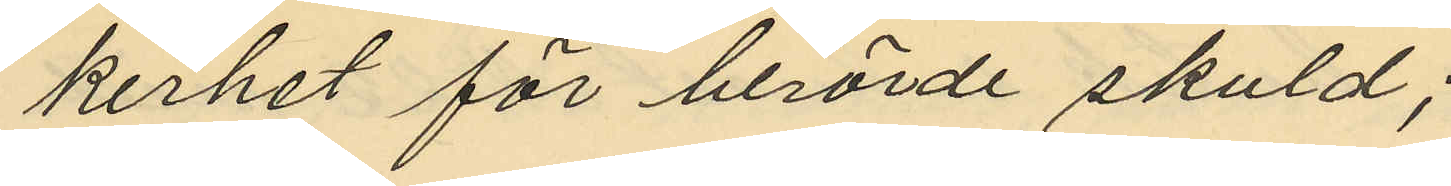kerhet för berörde skuld;
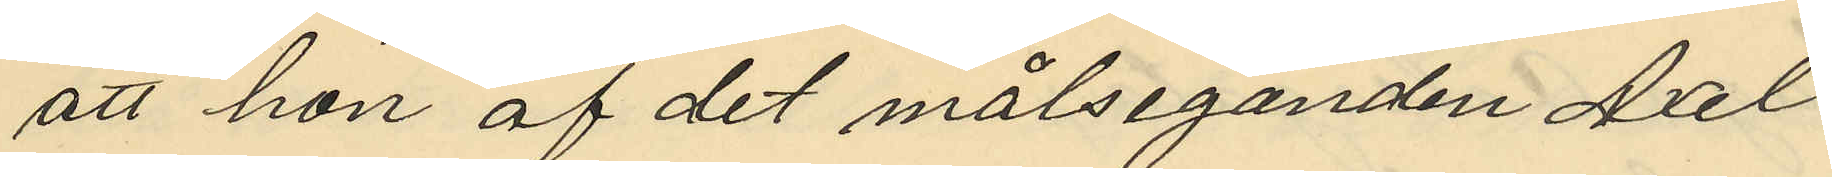att hon af det målseganden Axel
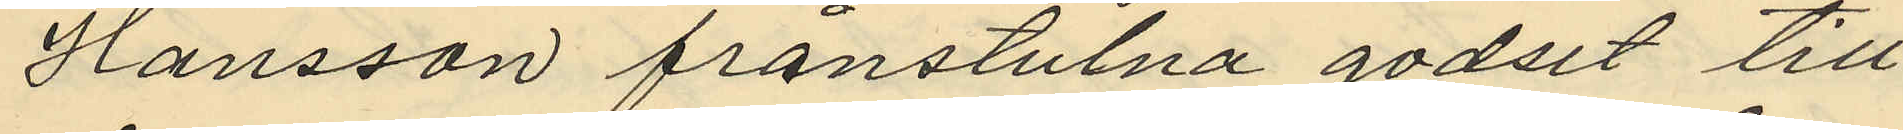Hansson frånstulna godset till
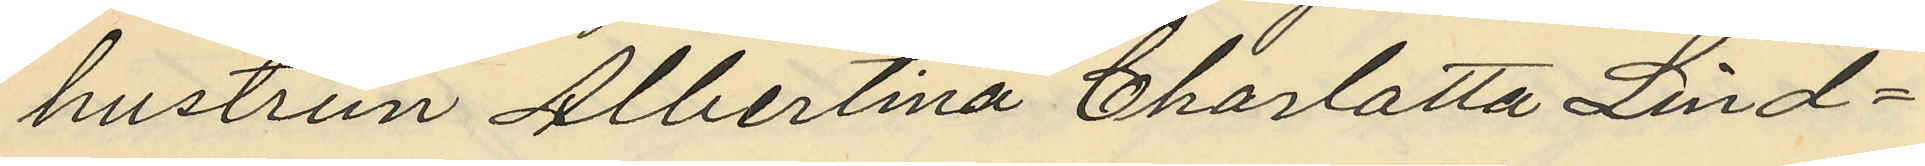hustrun Albertina Charlotta Lind¬
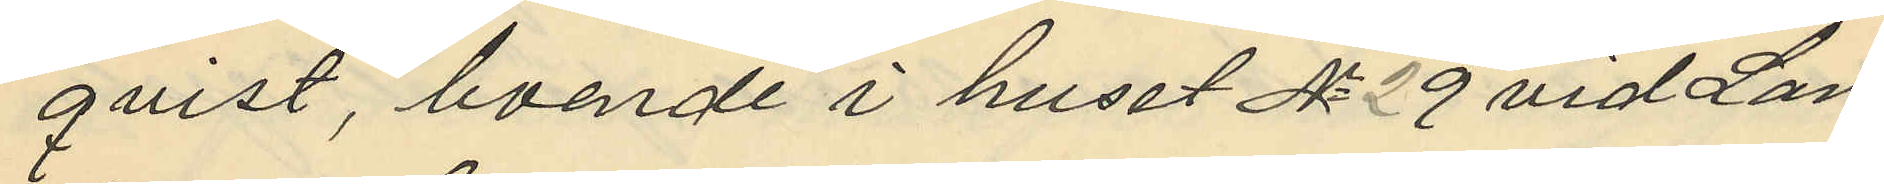qvist, boende i huset No 29 vid Lan¬
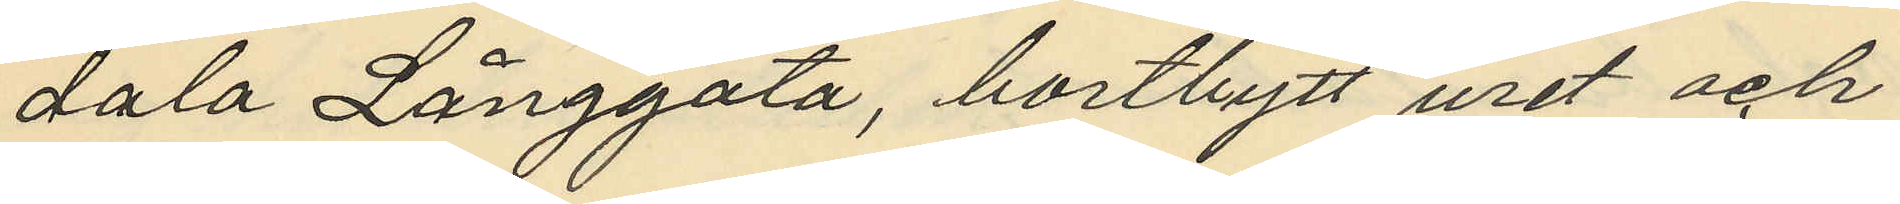dala Långgata, bortbytt uret och
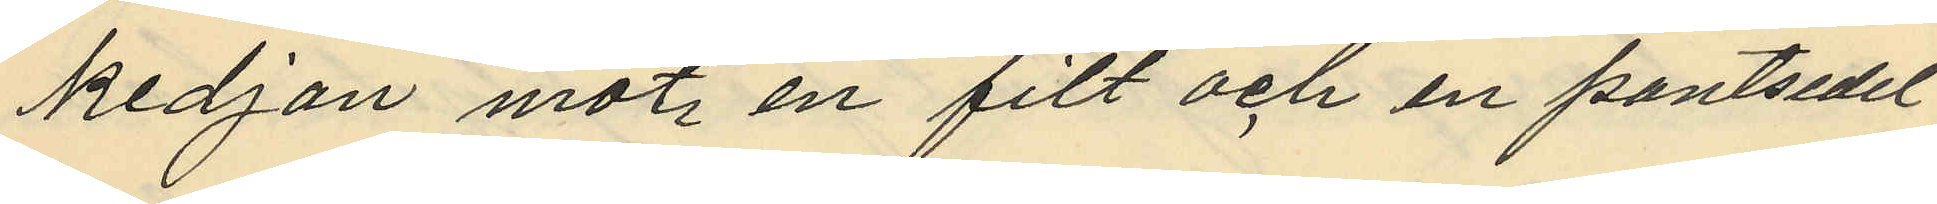kedjan mot en filt och en pantsedel
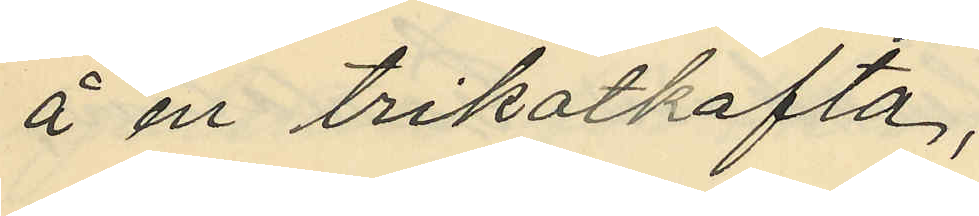å en trikotkofta;
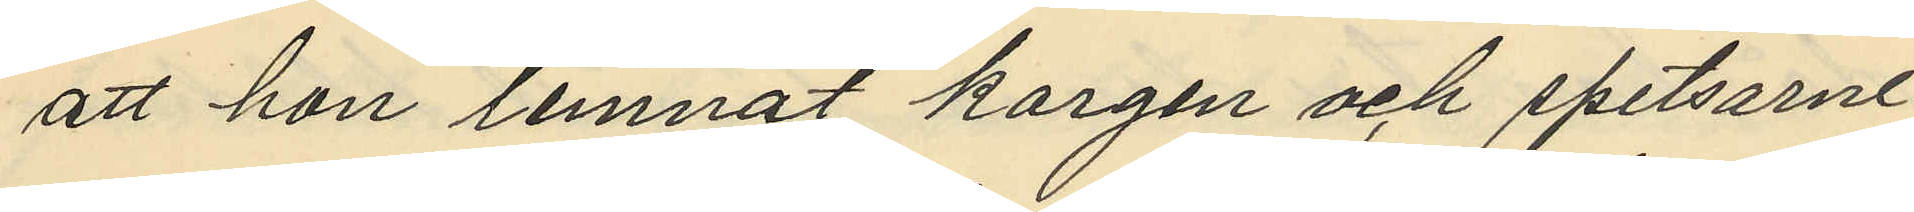att hon lemnat korgen och spetsarne
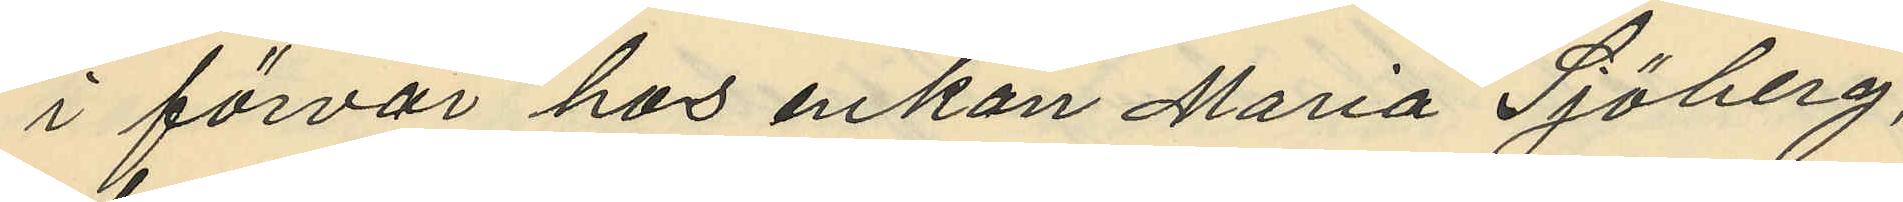i förvar hos enkan Maria Sjöberg,
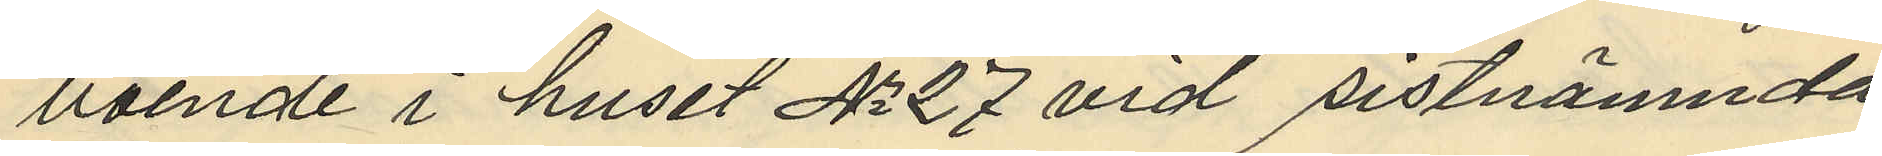boende i huset No 27 vid sistnämnda
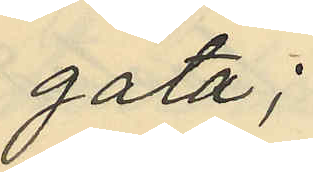gata;
